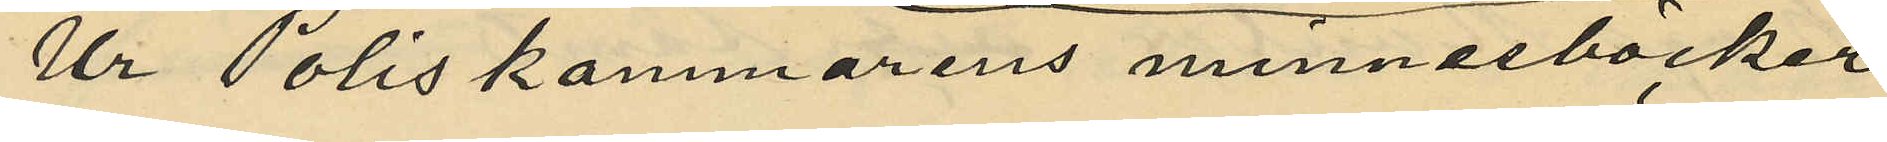Ur Poliskammarens minnesböcker
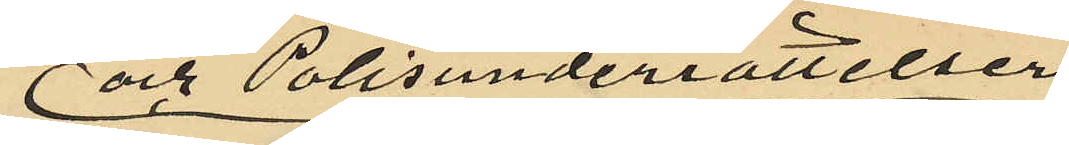och Polisunderrättelser
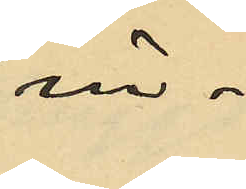in¬
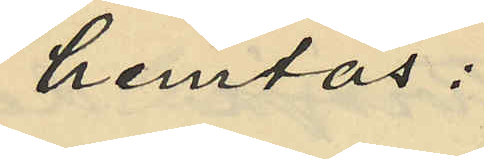hemtas:
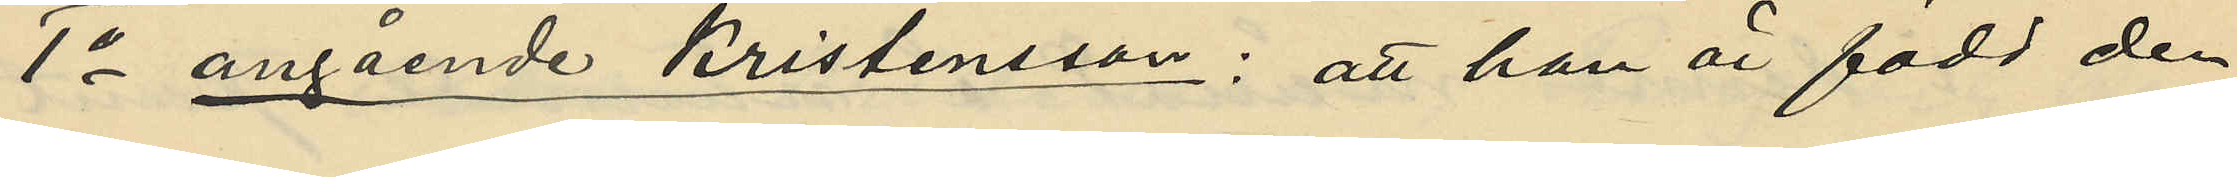1o angående Kristensson: att han är född den
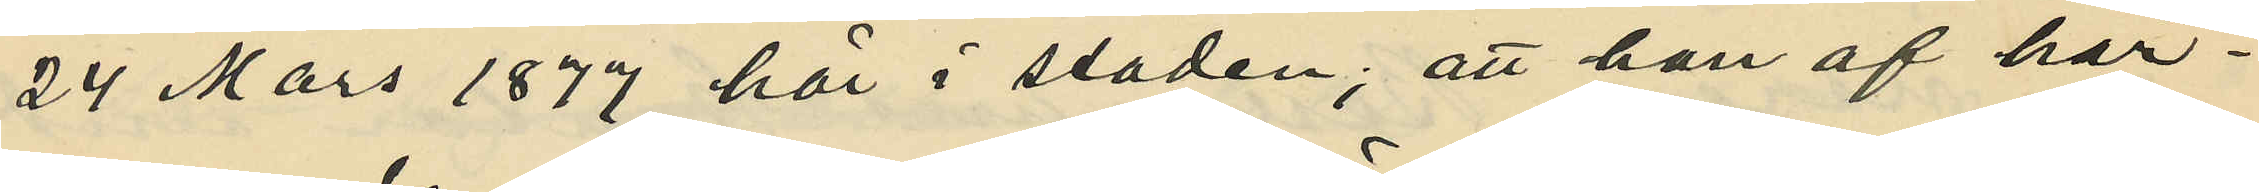24 Mars 1877 här i staden; att han af här¬
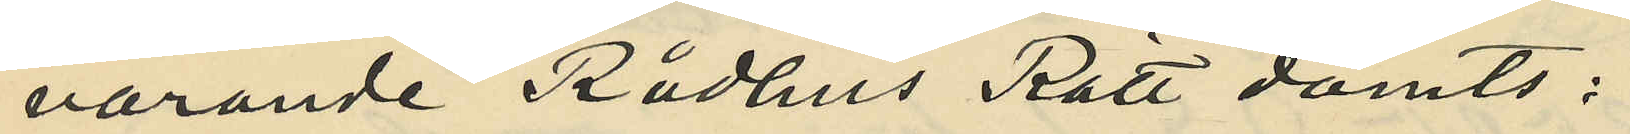varande Rådhus Rätt dömts:
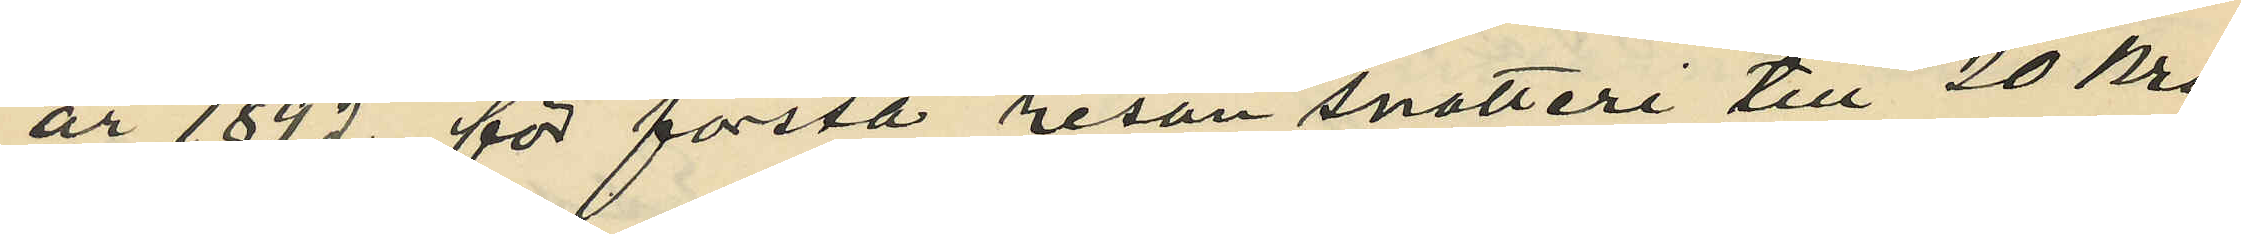år 1892 för första resan snatteri till 20 Kro¬
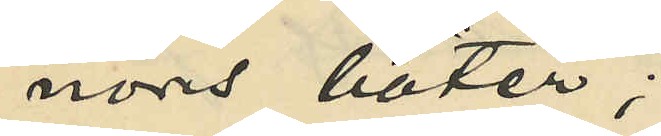nors böter;
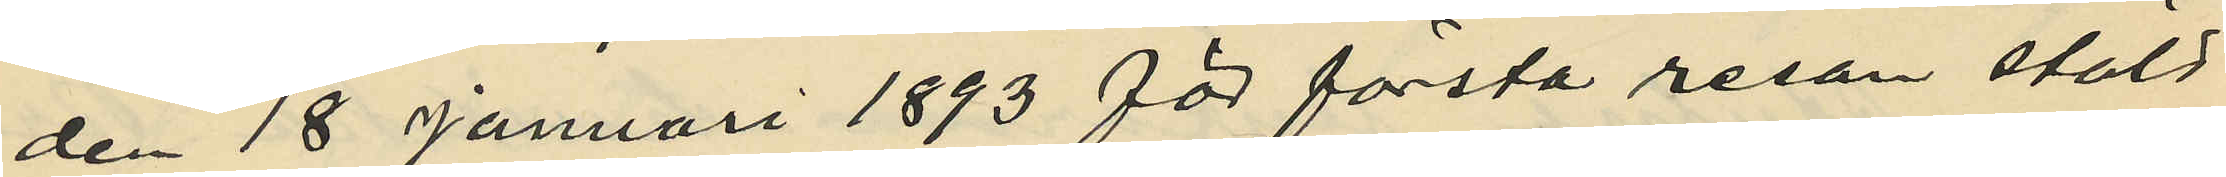den 18 januari 1893 för första resan stöld
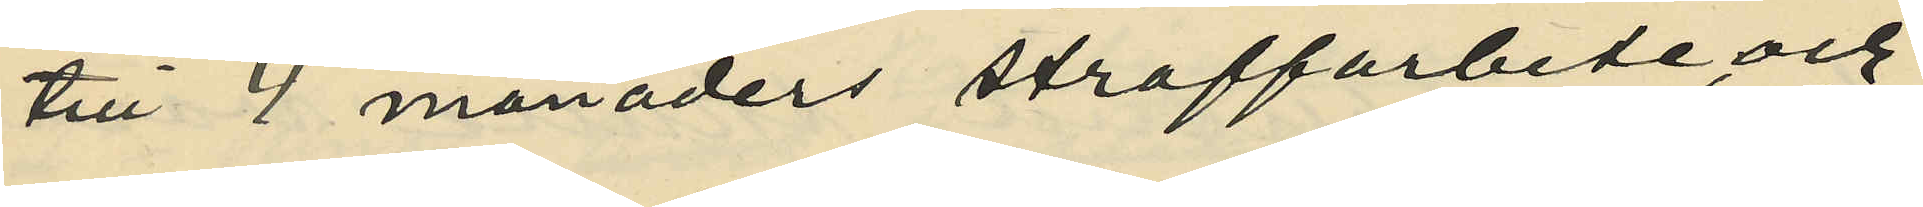till 4 månaders straffarbete och
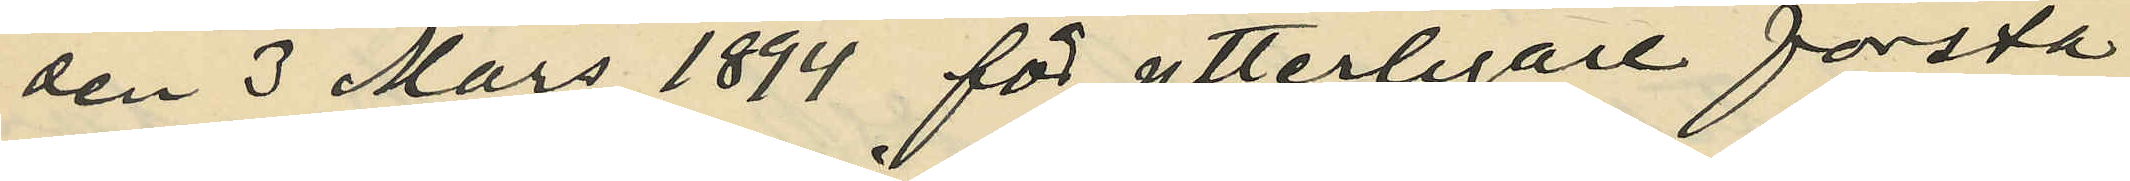den 3 Mars 1894 för ytterligare första
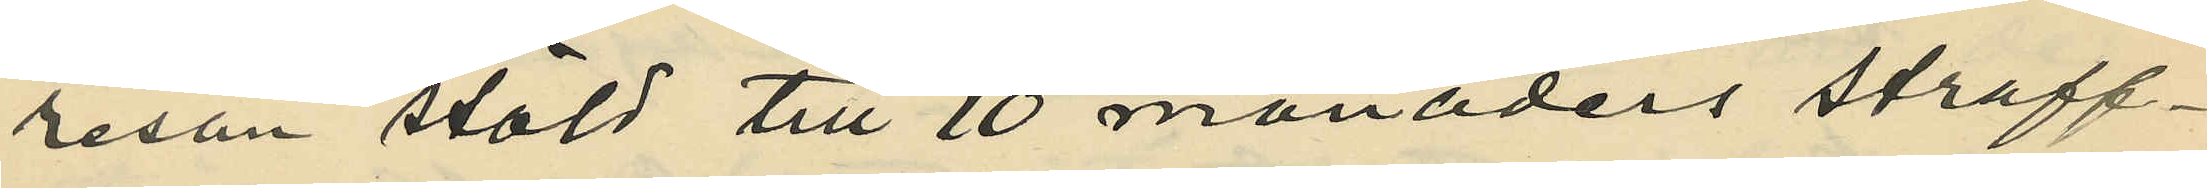resan stöld till 10 månaders straff¬
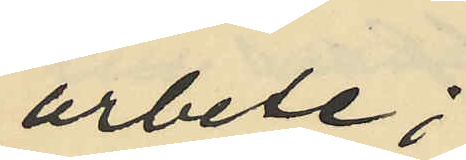arbete;
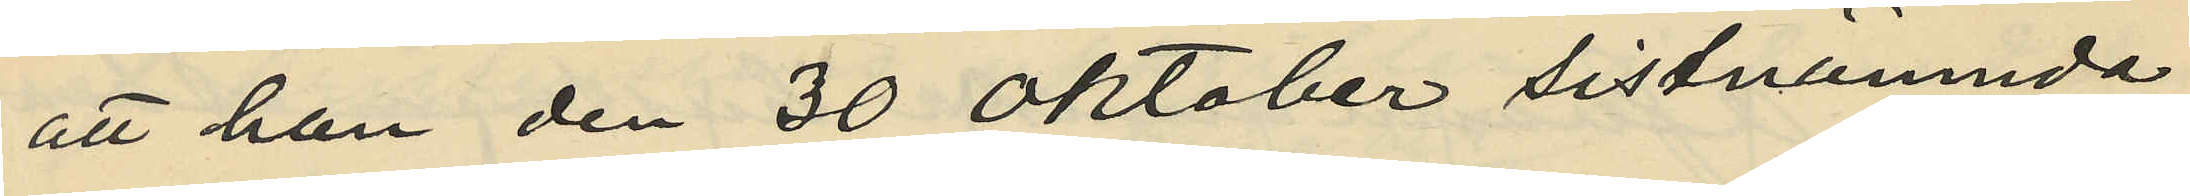att han den 30 Oktober sistnämnda
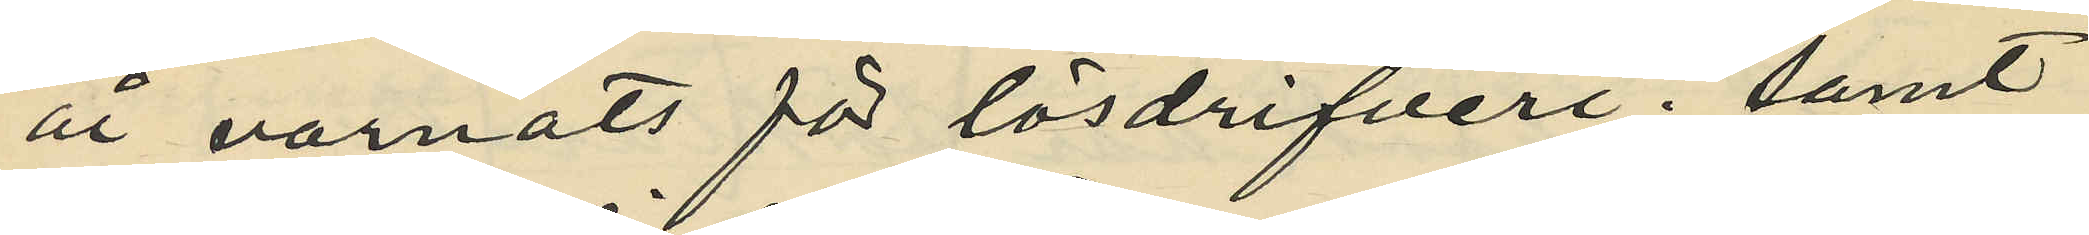år varnats för lösdrifveri; samt
